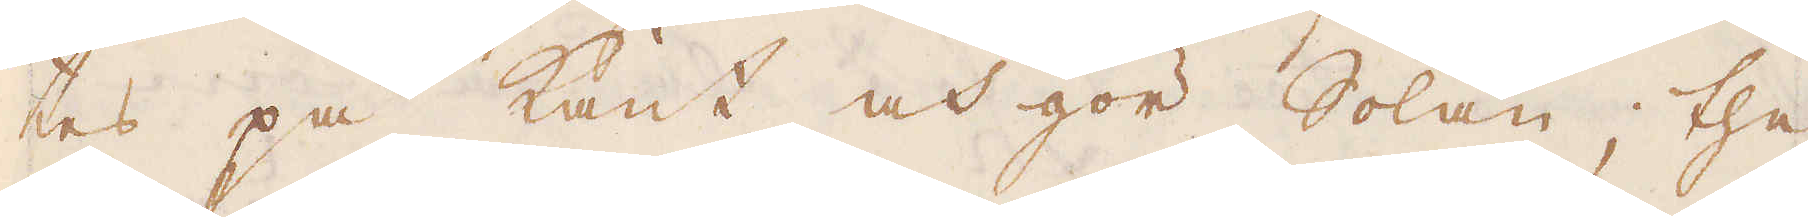tes på kant och gör Solan; the
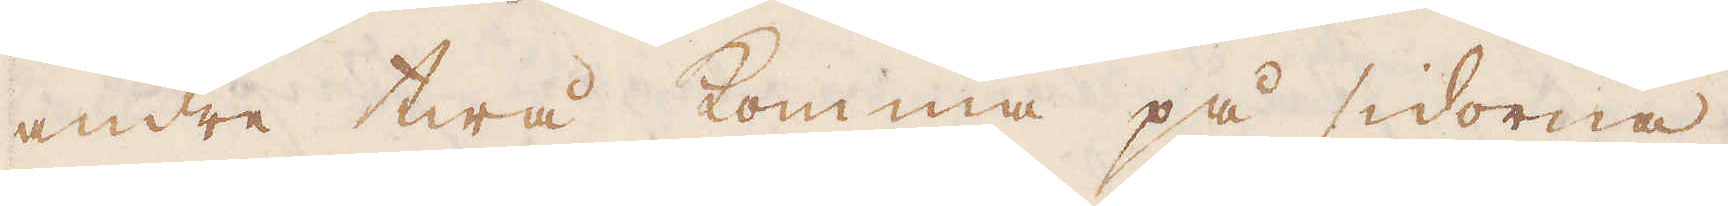andre twå komma på sidorna.
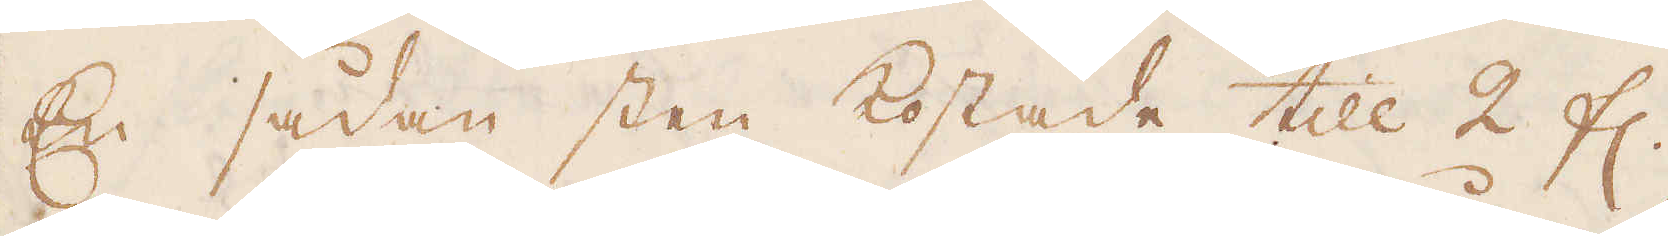En sådan sten kostade till 2 fl.,
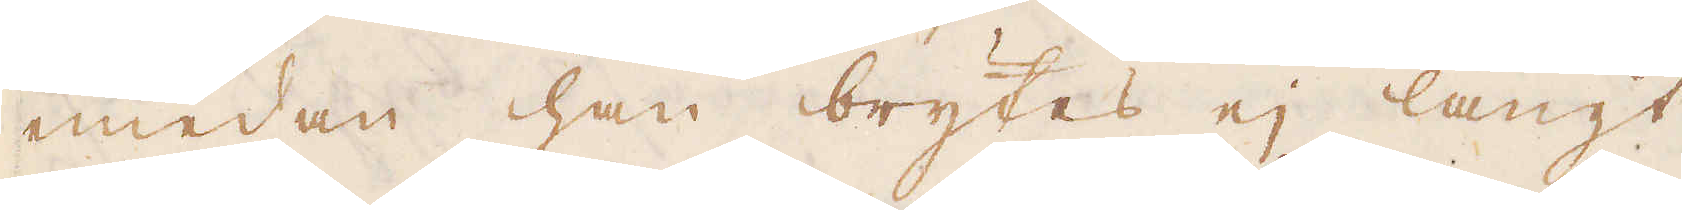emedan han brytes ej långt
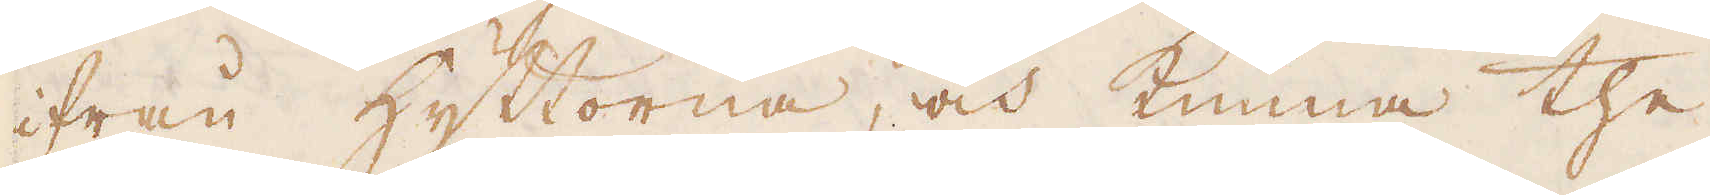ifrån hyttorna, och kunna the
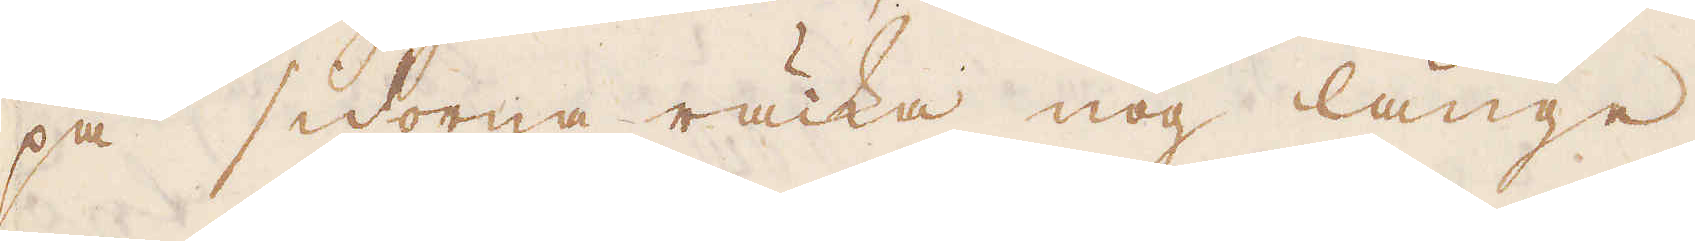på sidorna räcka nog länge,
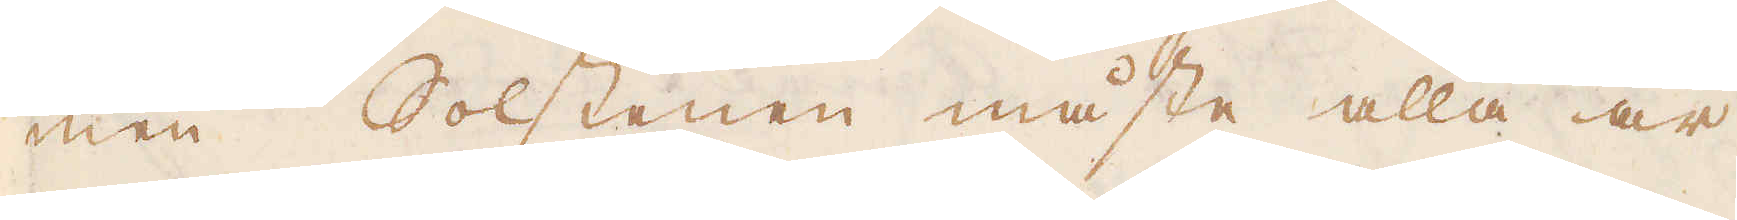men Solstenen måste alla år
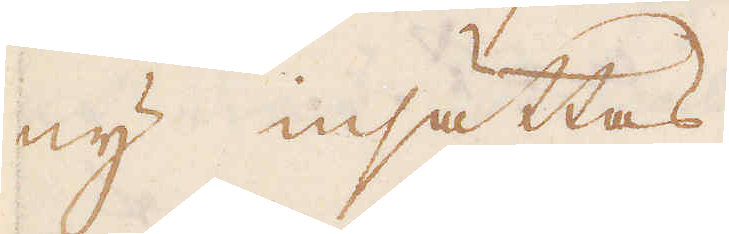ny insättas.
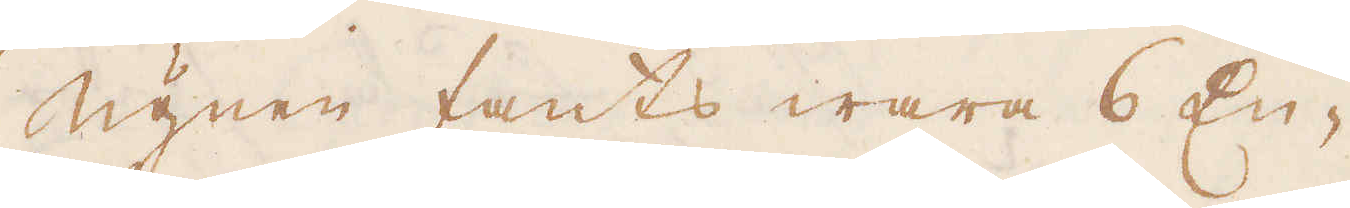Ugnen fants wara 6 En-
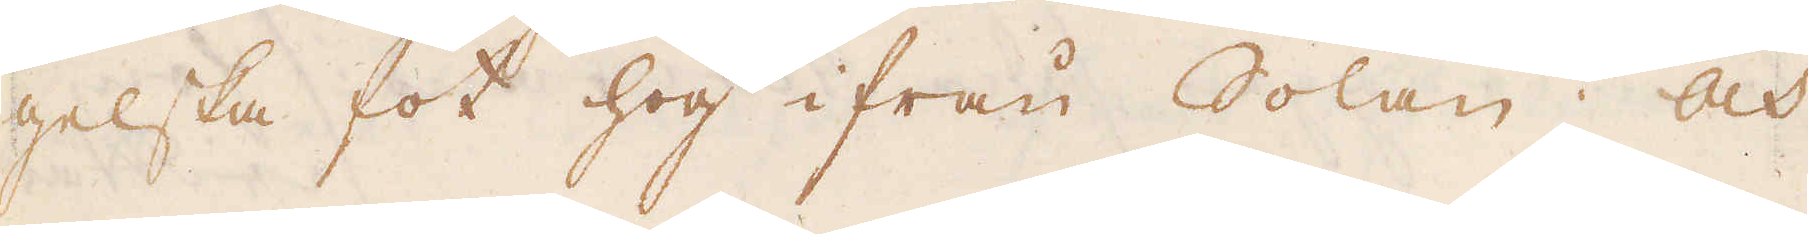gelska fot hög ifrån Solan; och
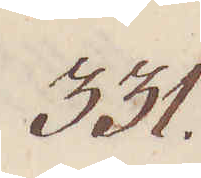331.
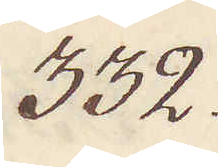332.
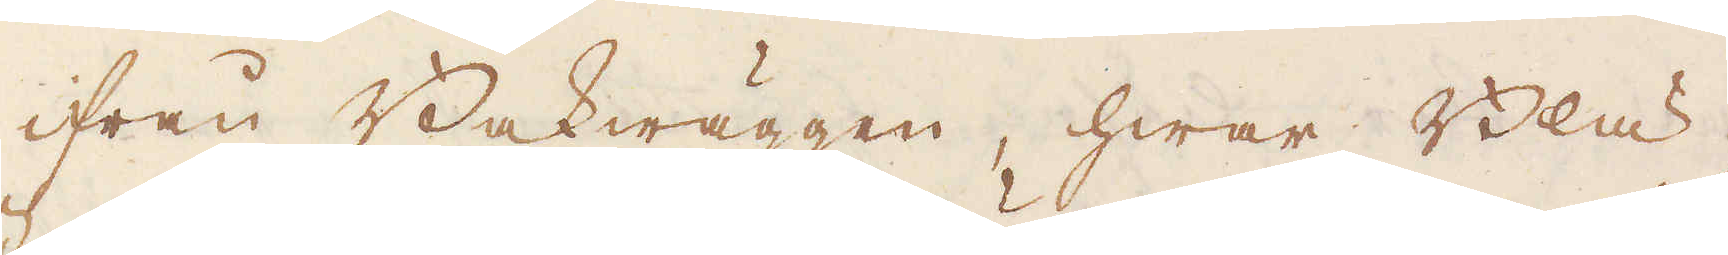ifrån Bakwäggen, hwar Blä-
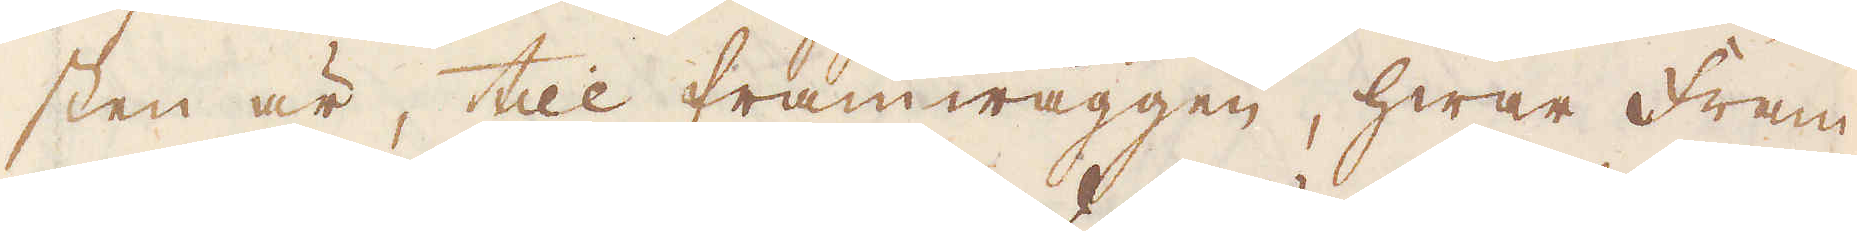sten är, till framwäggen, hwar Fram-
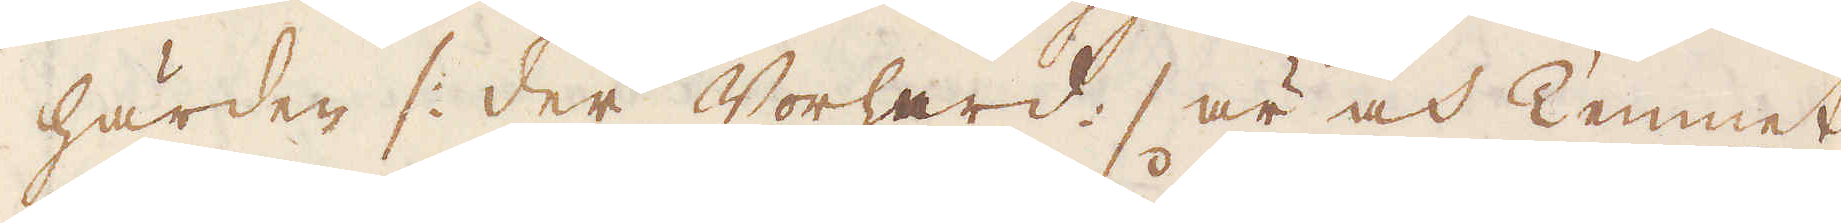härden /: der Vorherd :/ är och Tennet
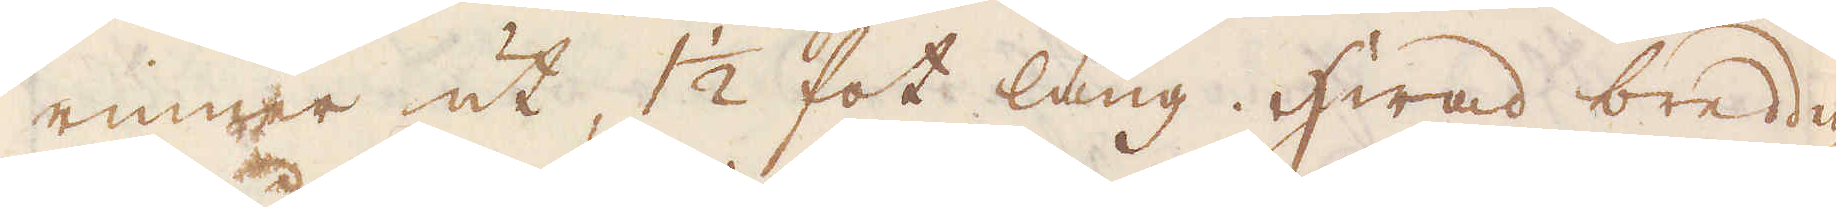rinner ut, 1 1/2 fot lång. Hwad bredden
